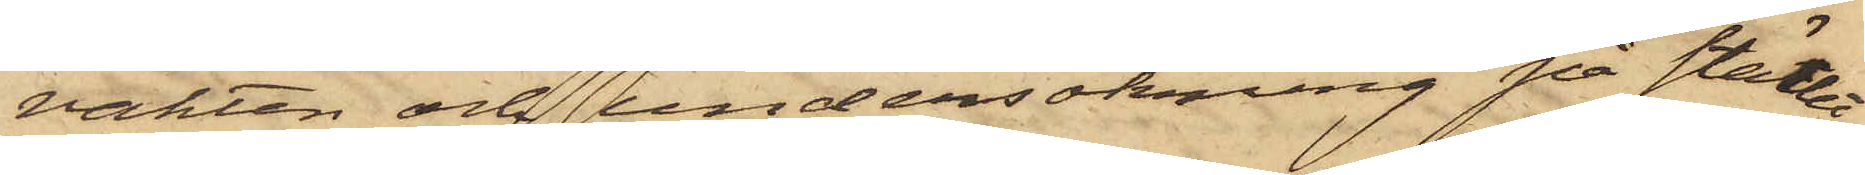vakten och undersökning på stället
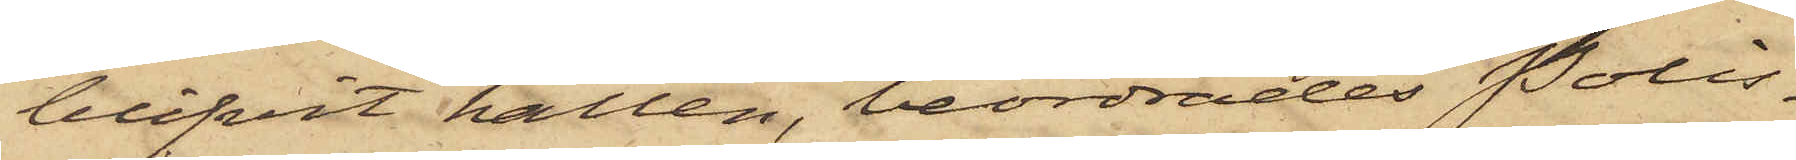blifvit hållen, beordrades Polis¬
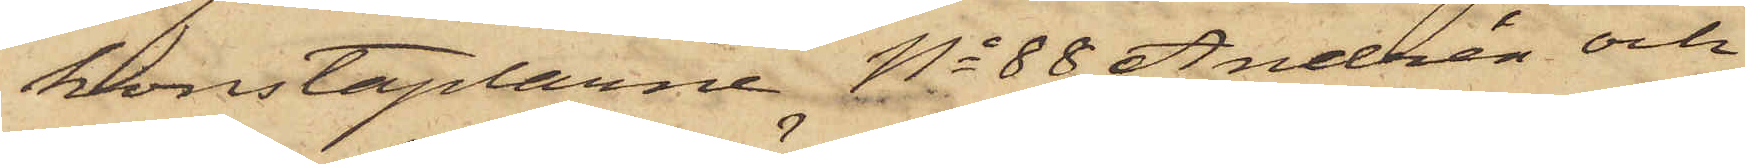konstaplarne No 88 Andrén och
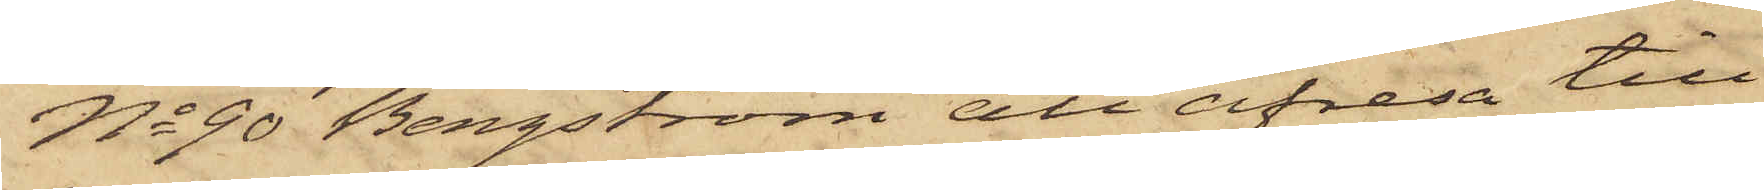No 90 Bergström att afresa till
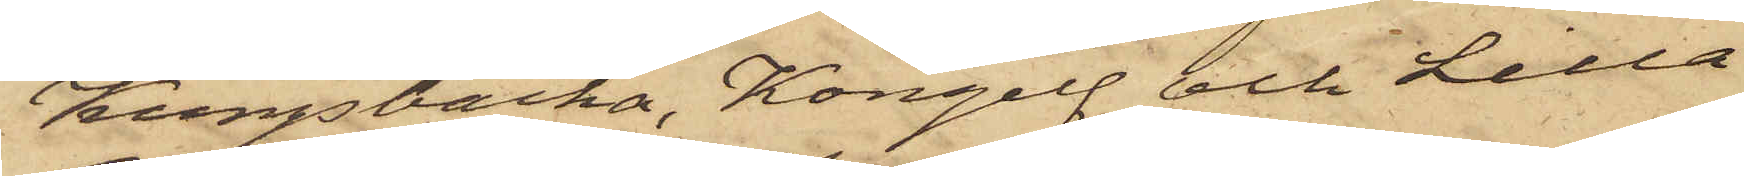Kungsbacka, Kongelf och Lilla
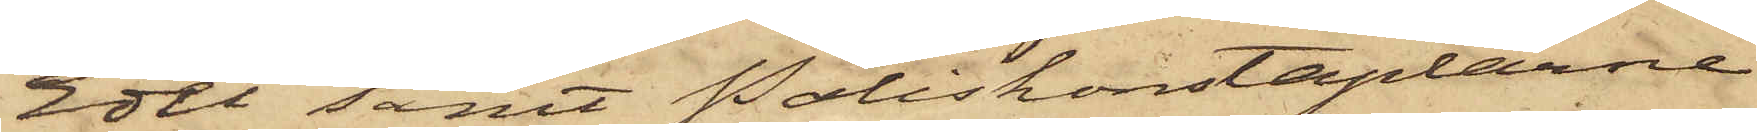Edet samt Poliskonstaplarne
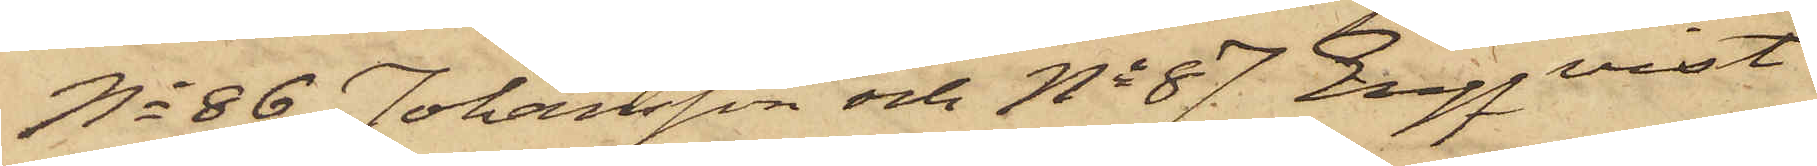No 86 Johansson och No 87 Engqvist
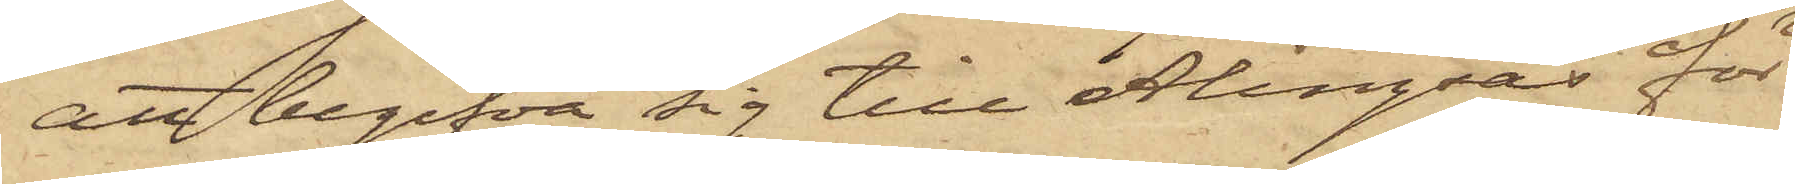att begifva sig till Alingsås för
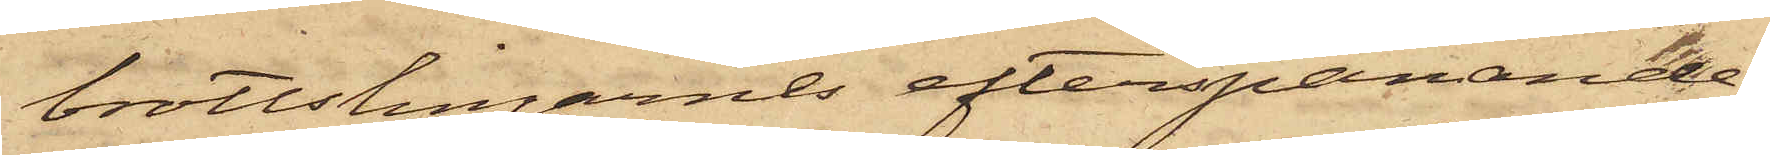brottslingarnes efterspanande;
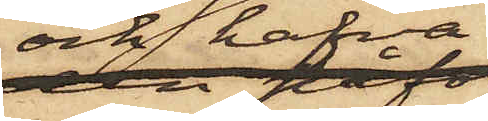och hafva
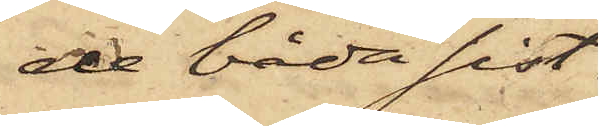de båda sist¬
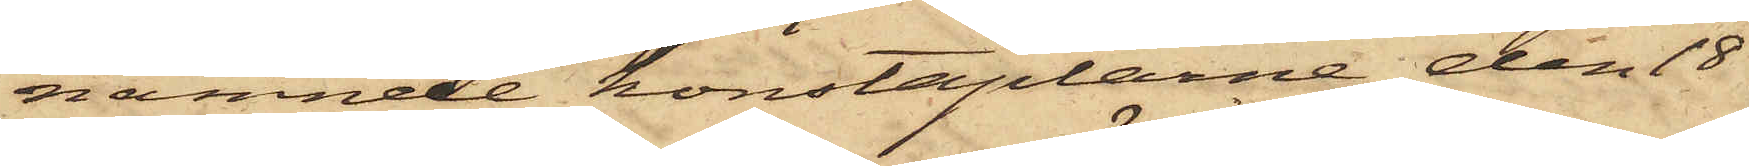nämnde konstaplarne den 18
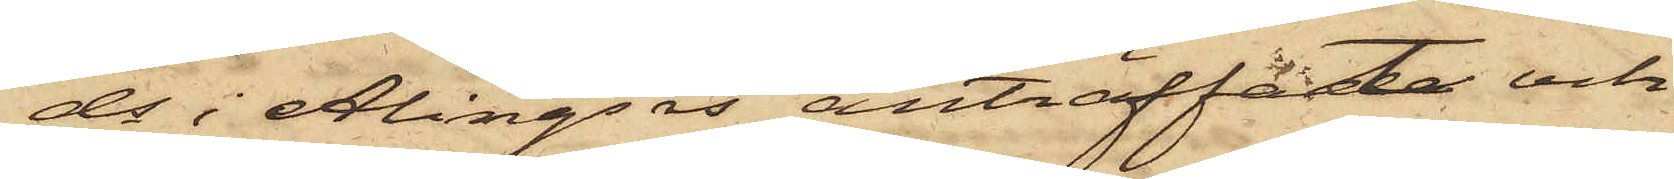ds i Alingsås anträffat och
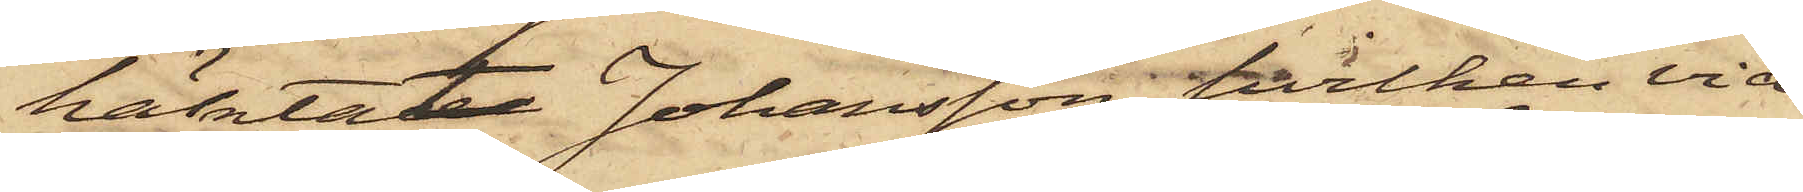häktat Johansson, hvilken vid
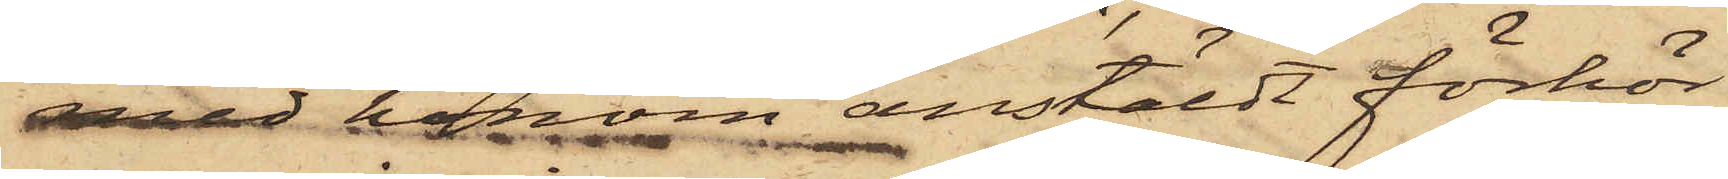med honom anstäldt förhör
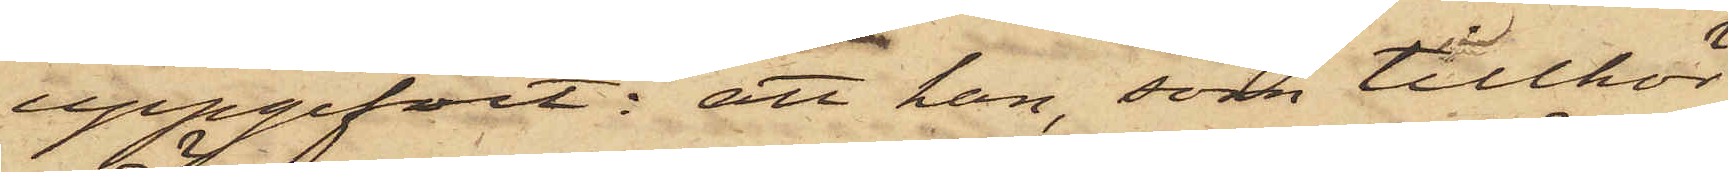uppgifvit: att han, som tillhör
